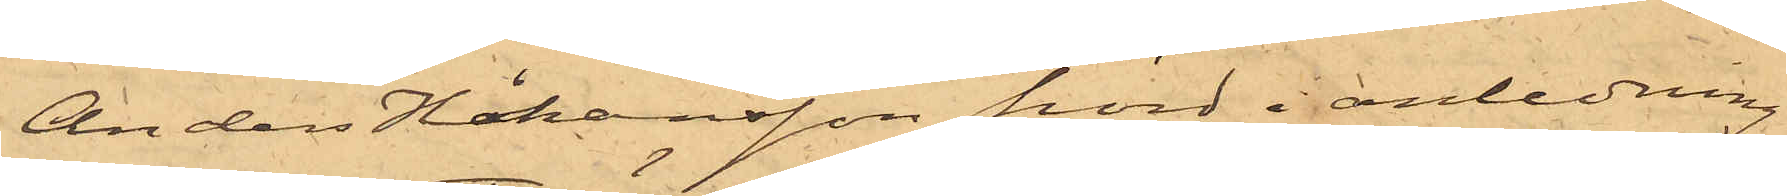Anders Håkansson, hörd i anledning
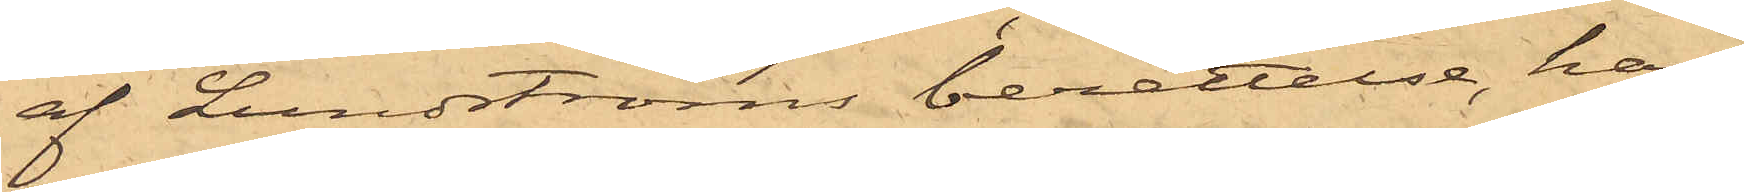af Lundströms berättelse, har
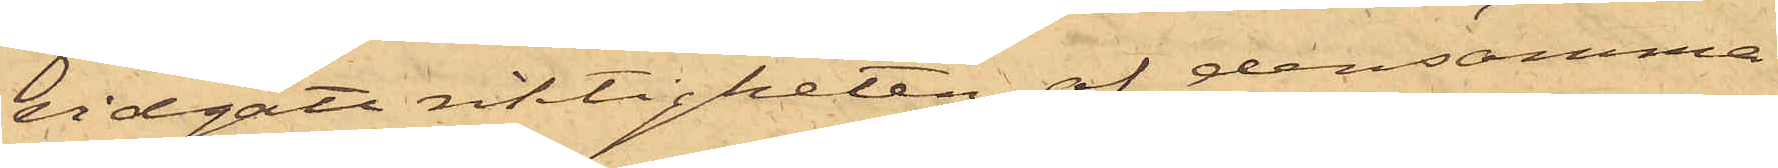vidgått riktigheten af densamma
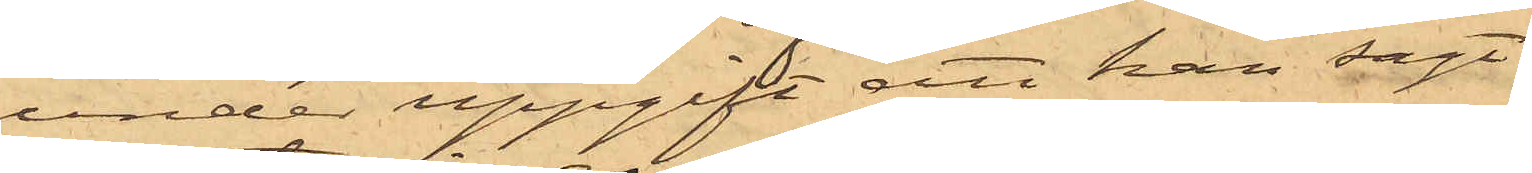under uppgift att han sagt
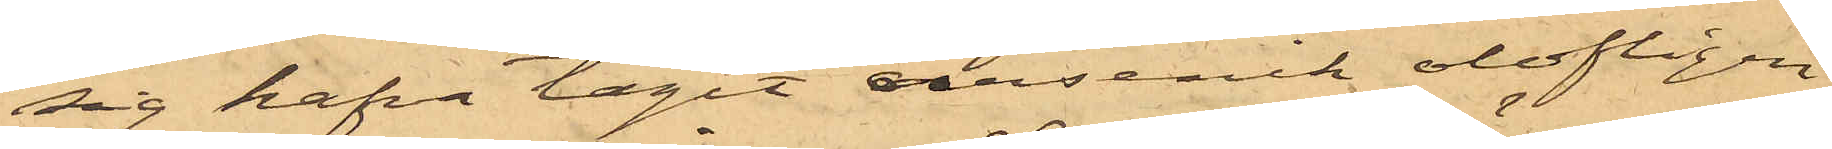sig hafva tagit arsenik olofligen
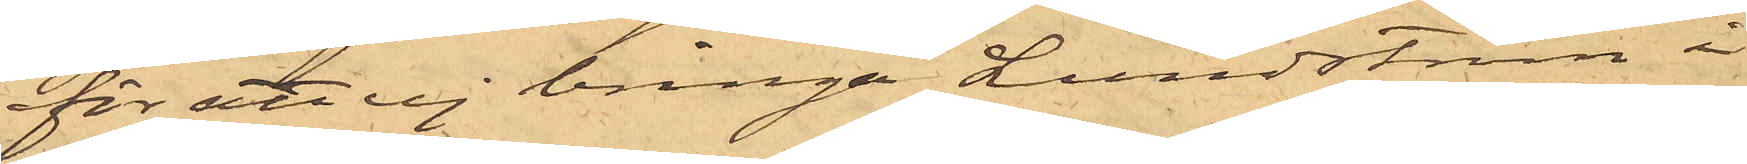för att ej bringa Lundström i
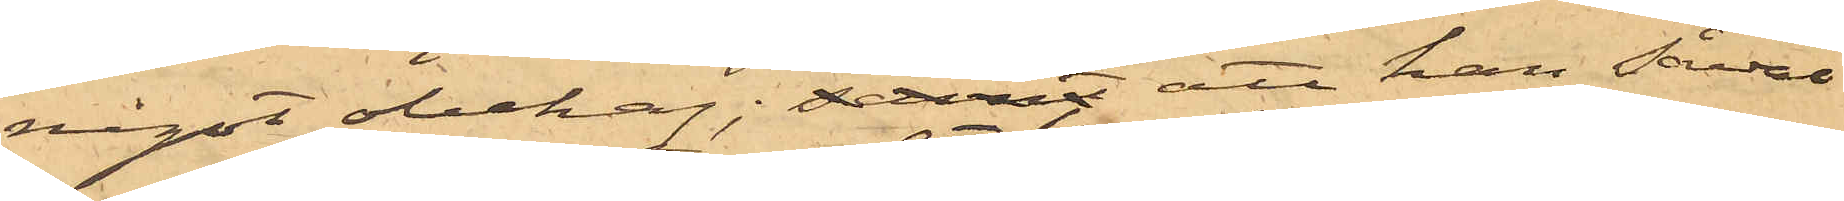något obehag; samt att han såväl
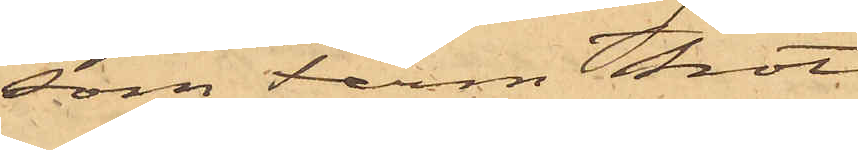som Ferm trott
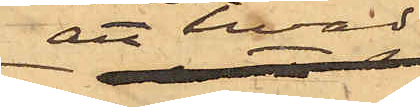att hvad
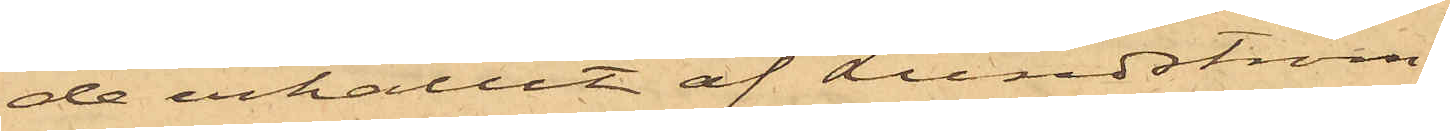de erhållit af Lundström,
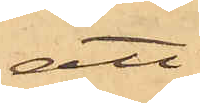att
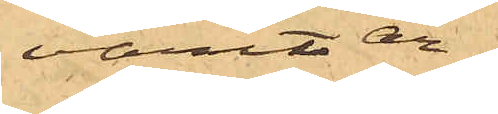varit ar¬
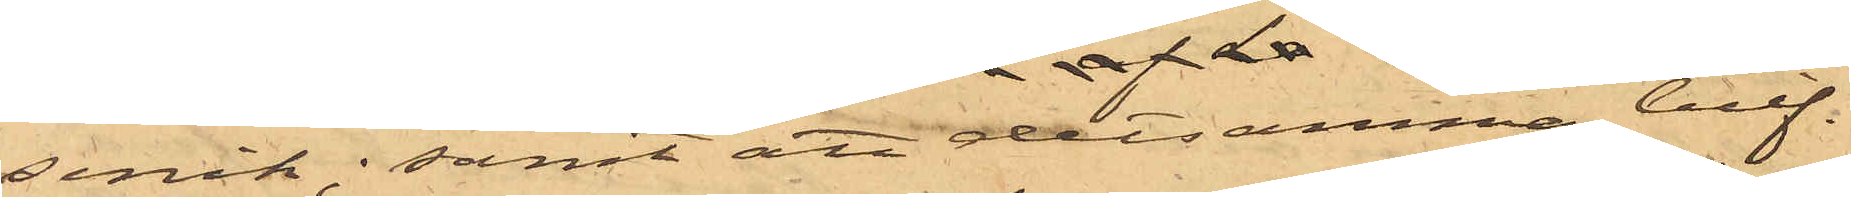senik; samt att detsamma blif¬
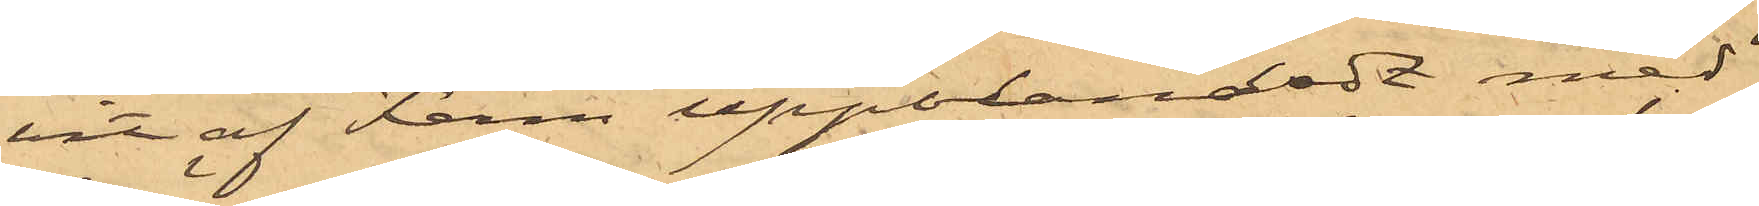vit af Ferm uppblandadt med
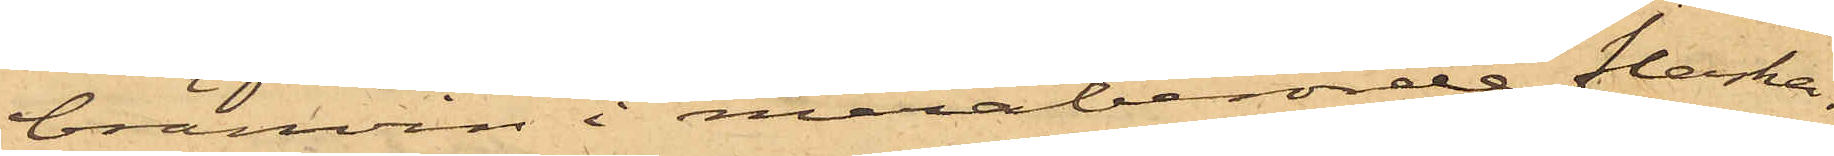bränvin i meraberörde flaska.
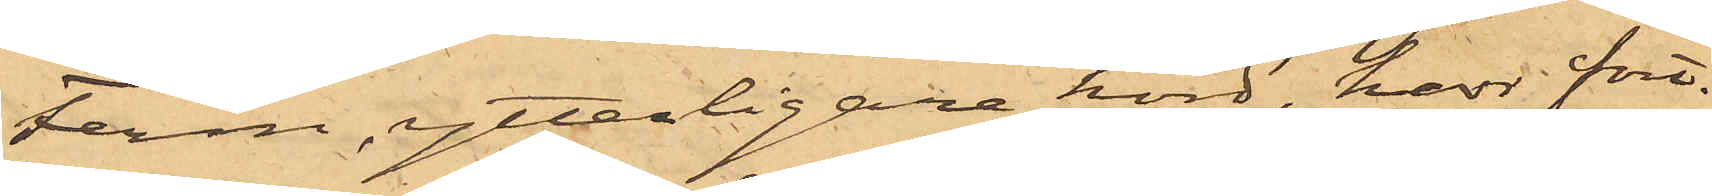Ferm, ytterligare hörd, har fort¬
